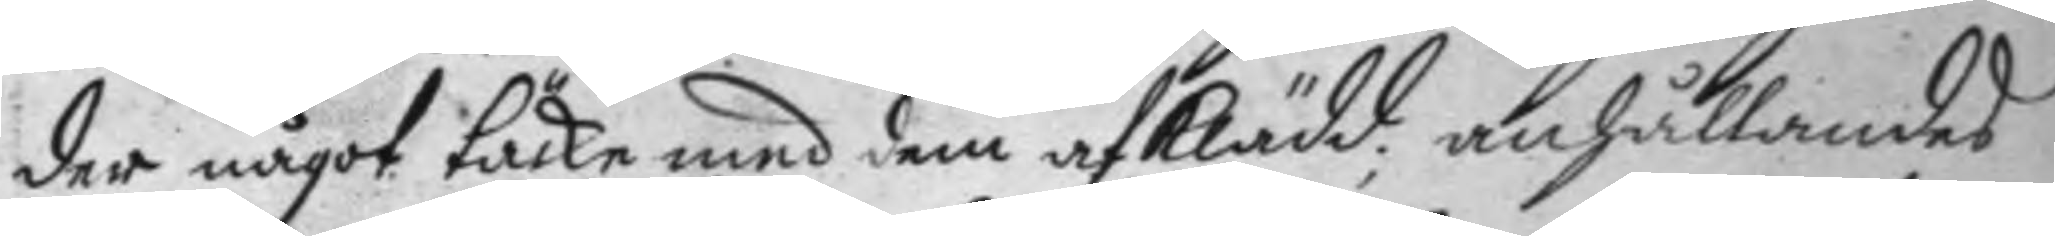der något täcke med dem afklädd; anhållandes
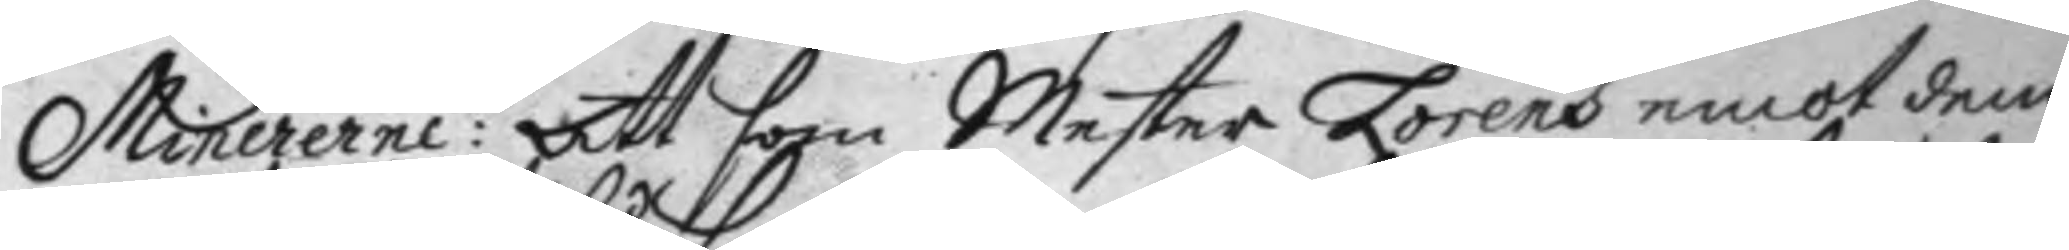Minererne: Att som Mester Lorens emot dem
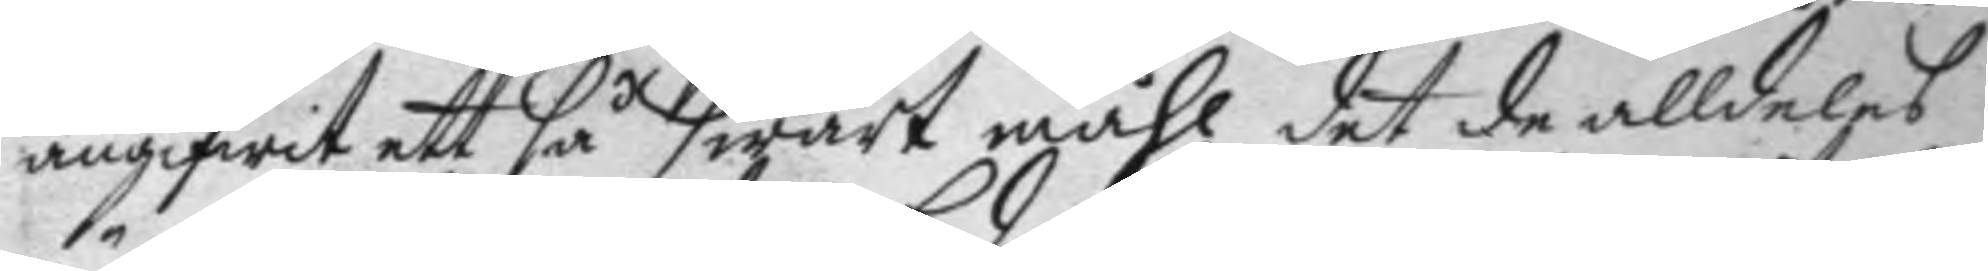angifwit ett så swårt måhl det de alldeles
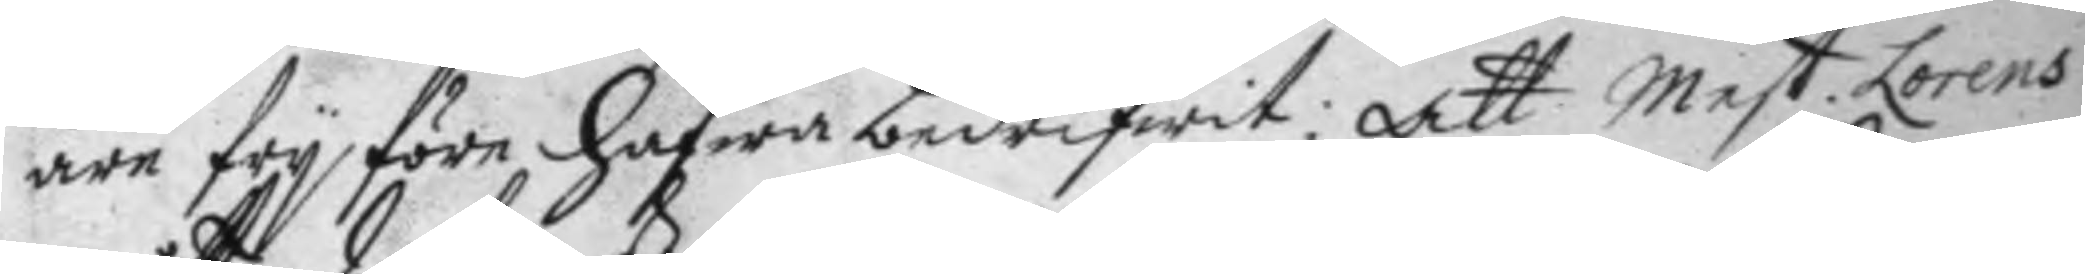äre fry före hafwa bedrifwit; Att Mest Lorens 
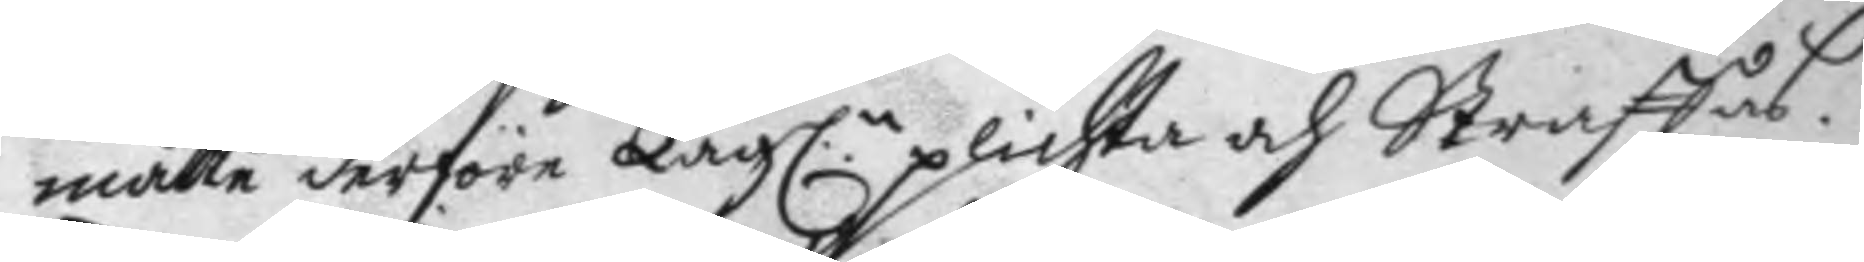måtte derföre Lag:n plichta och Straffas. 
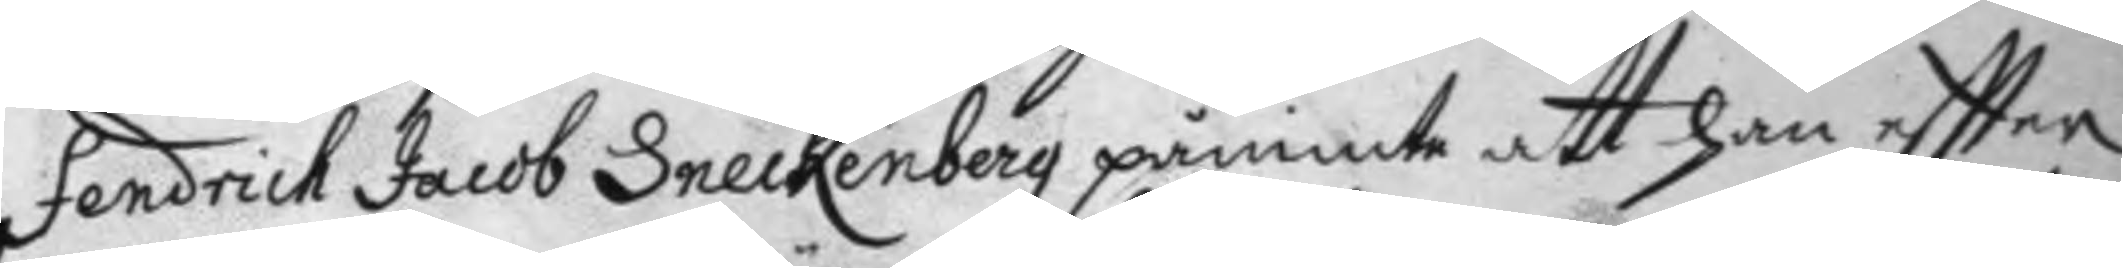Fendrick Jacob Sneckenberg påminte att han eftter
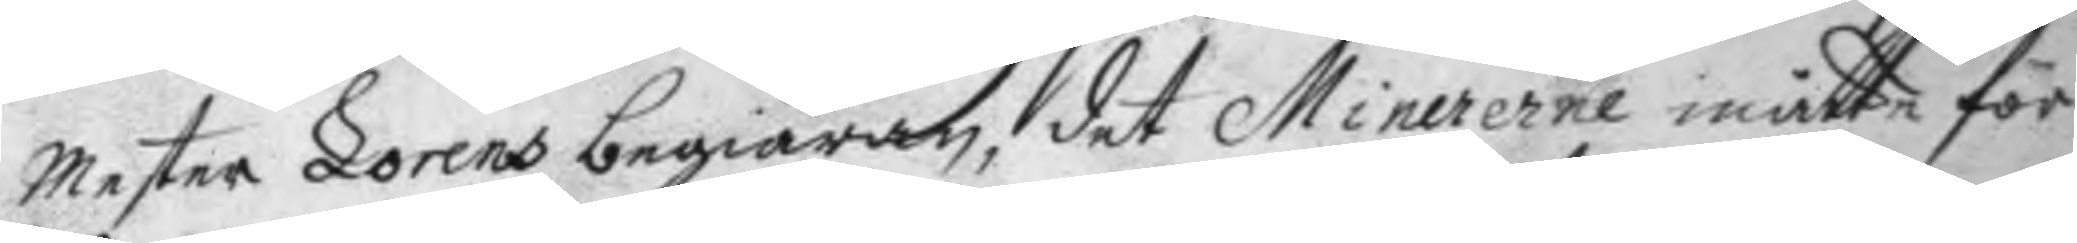Mester Lorens begiäran, det Minererne måtte för
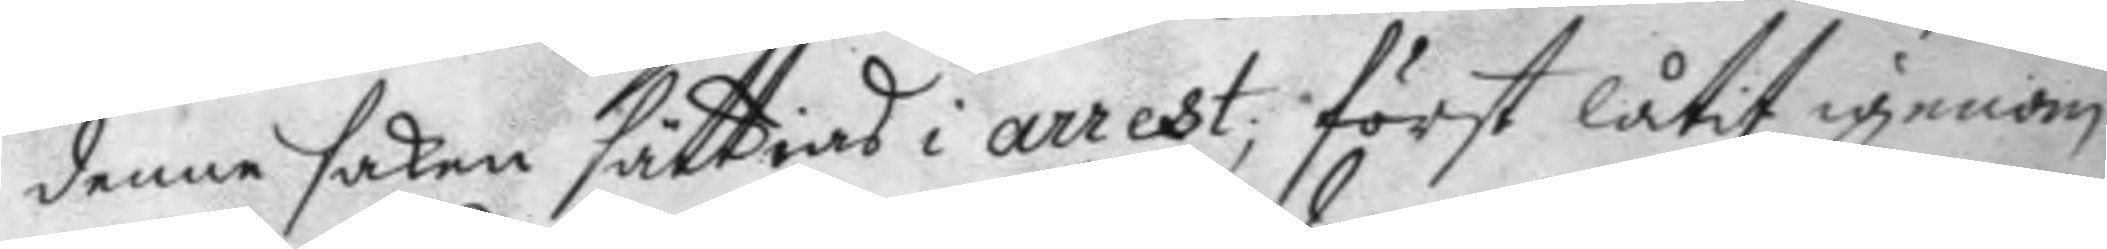denne saken sättias i arrest; först låtit igenom
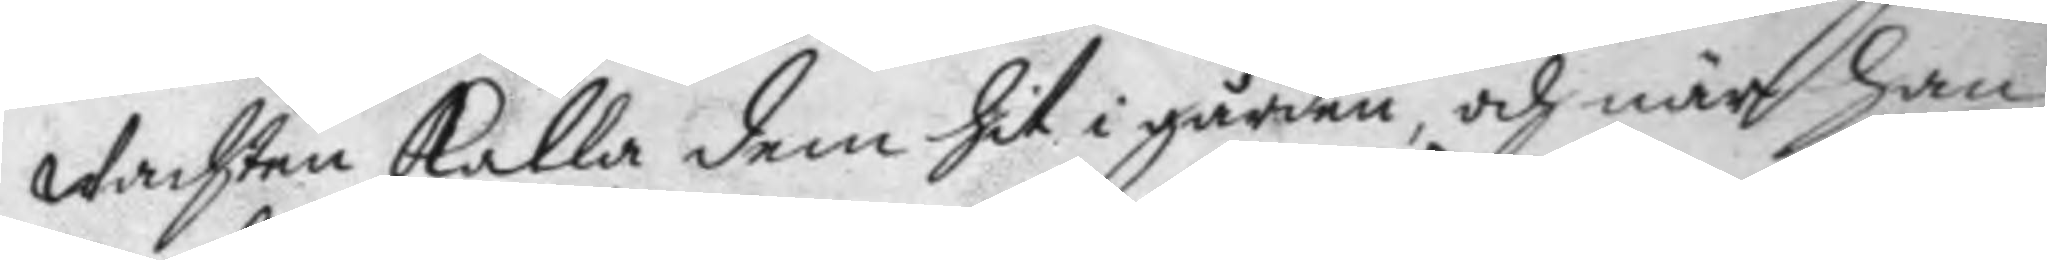wachten kalla dem hit i gården, och när han
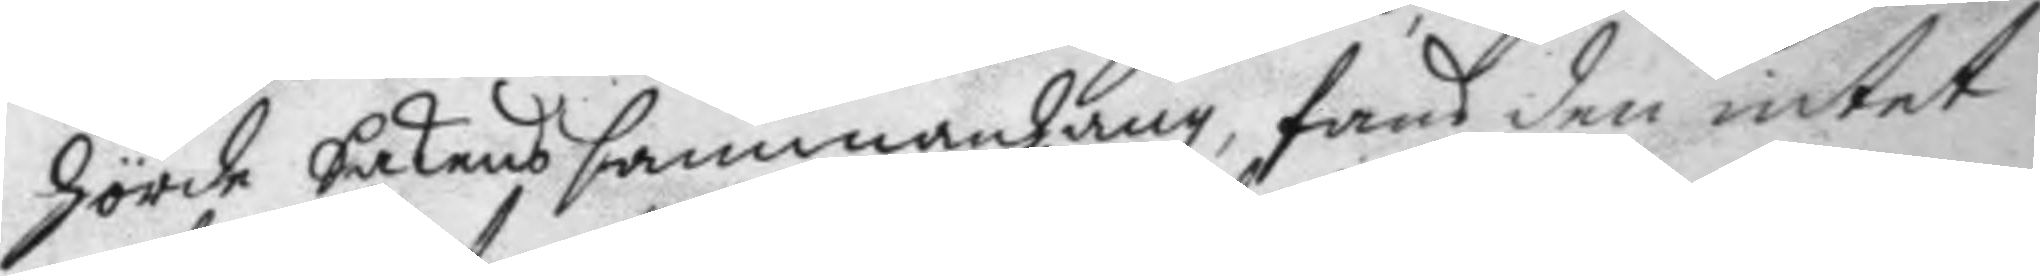hörde Sakens sammanhang, fans den intet
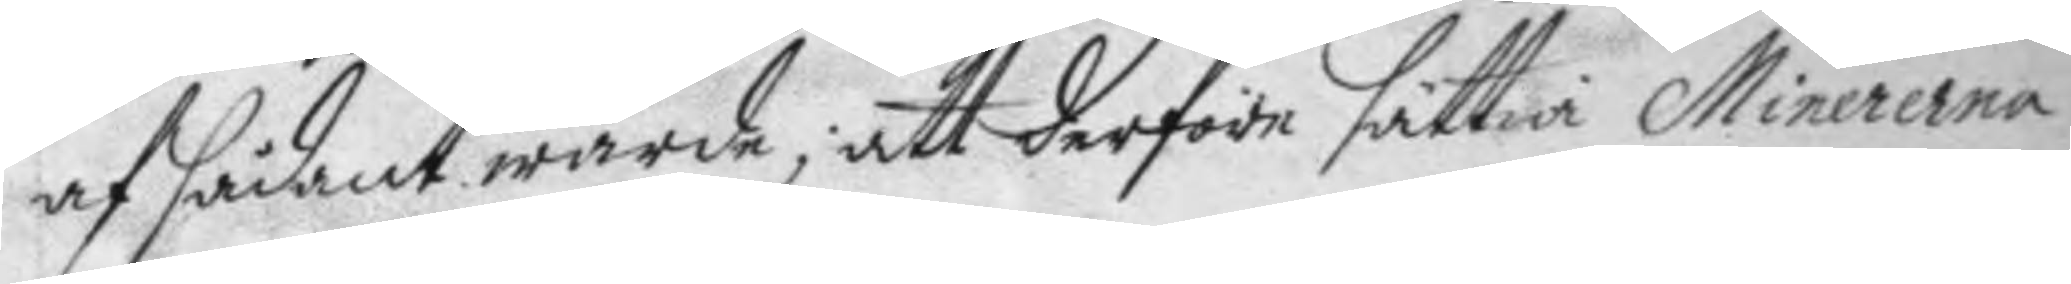af sådant wärde, att derföre sättia Minererna
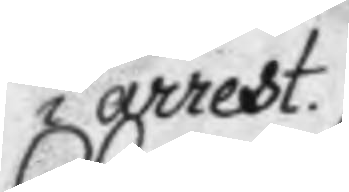i arrest.
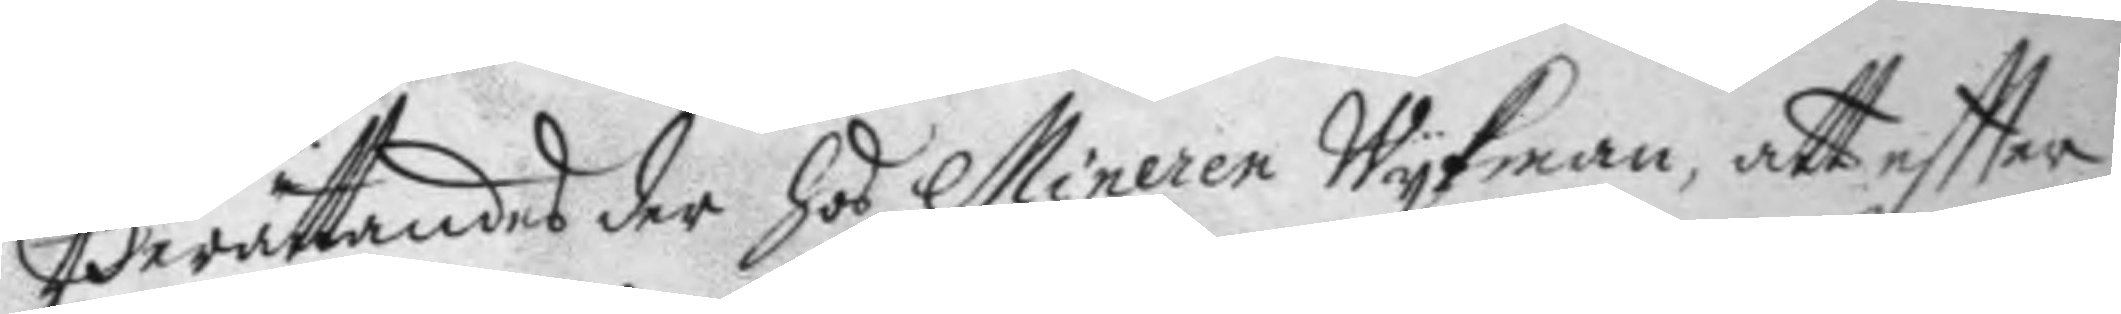Berättandes der Hos Mineren Wykman, att eftter
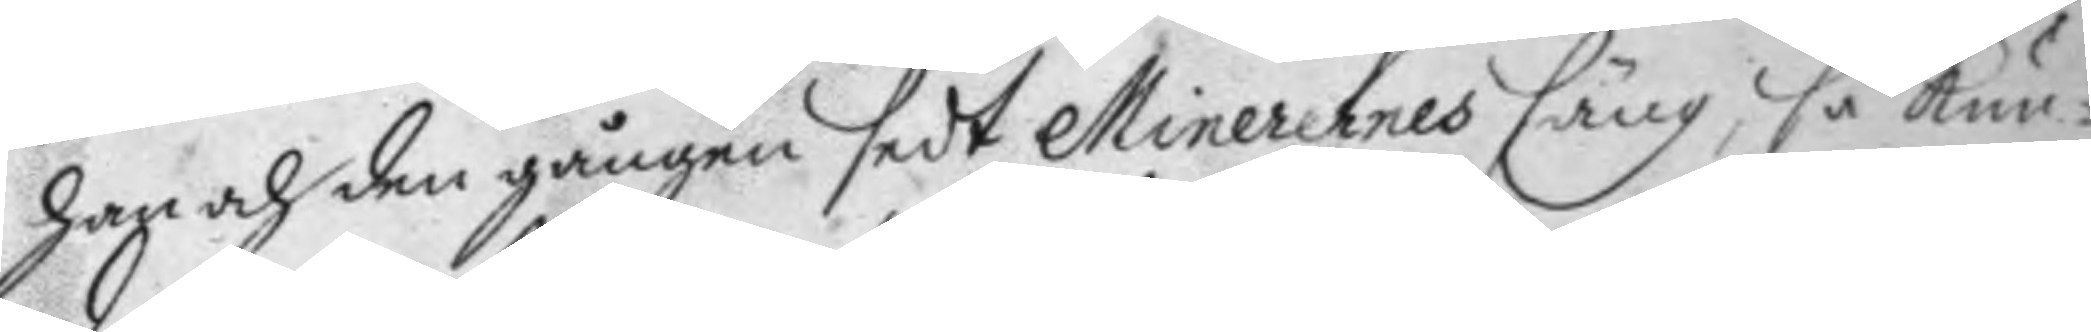han och den gången sedt Minerernes säng, så kun¬
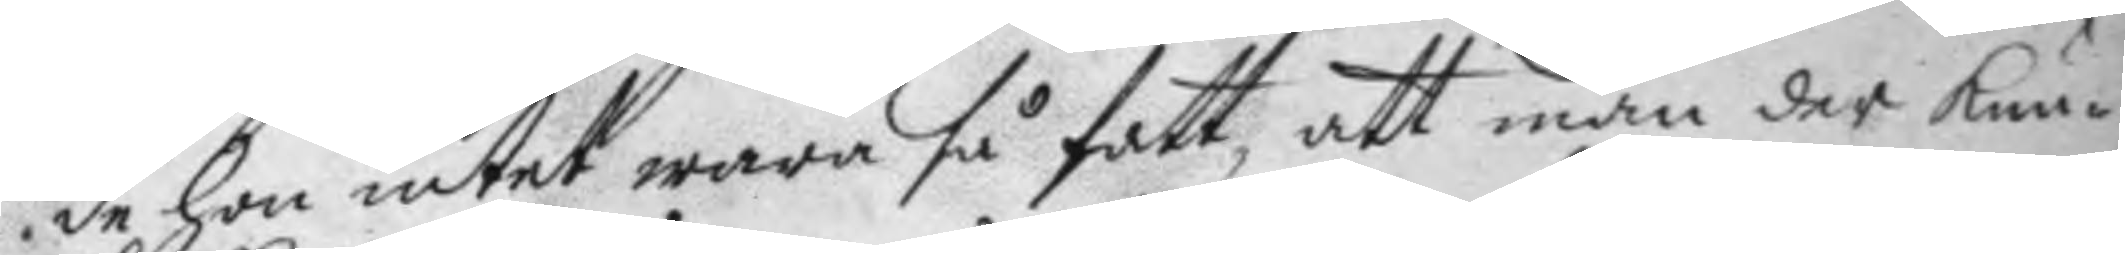de hon intet wara så fatt, att man der kun¬
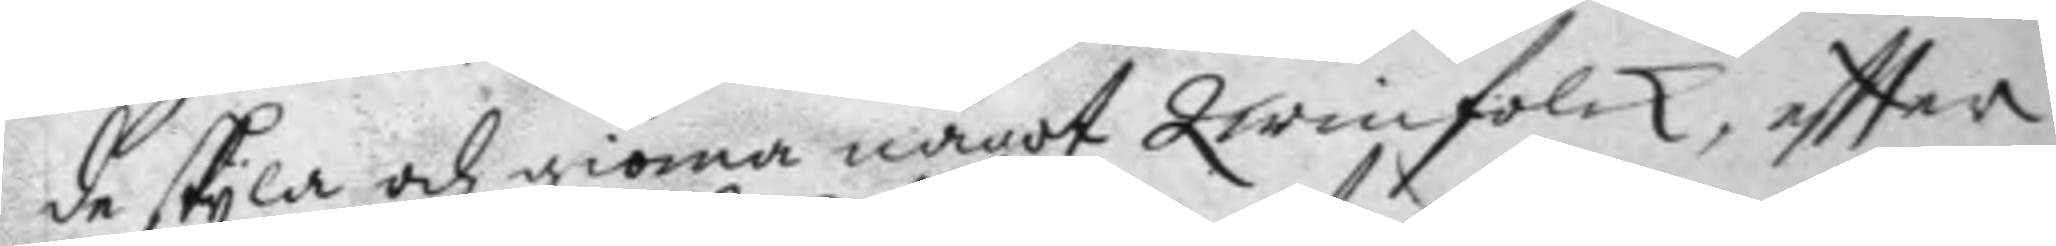de skyla och giöma något Qwinfolck, eftter
